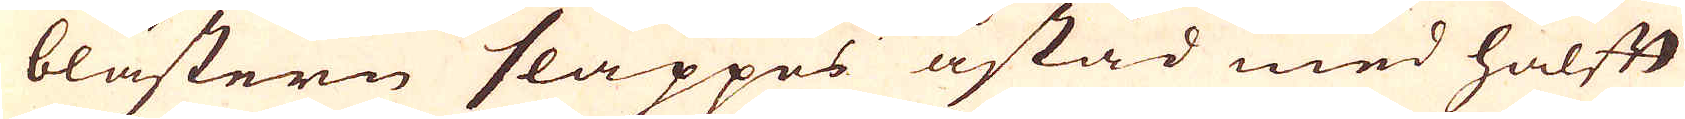blästern släppes åstad med halfft
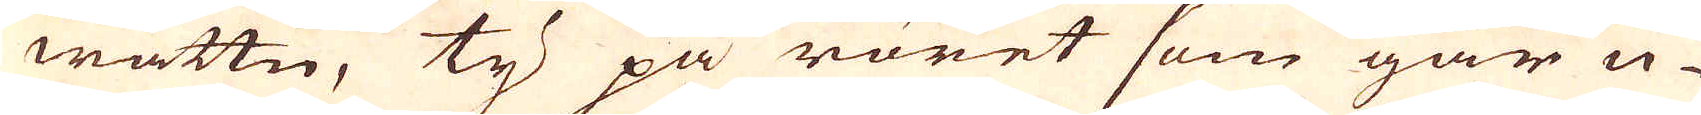wattn, ty på röret som går u-
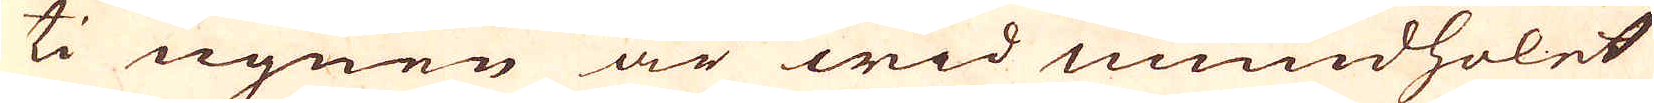ti ugnen är wid mundholet
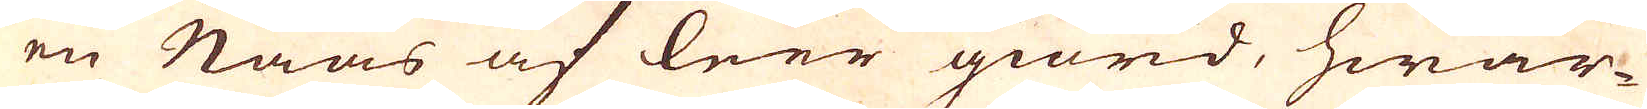en Naas af leer giord, hwar-
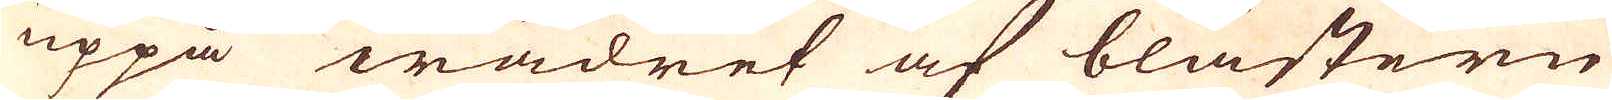uppå wädret af blästern
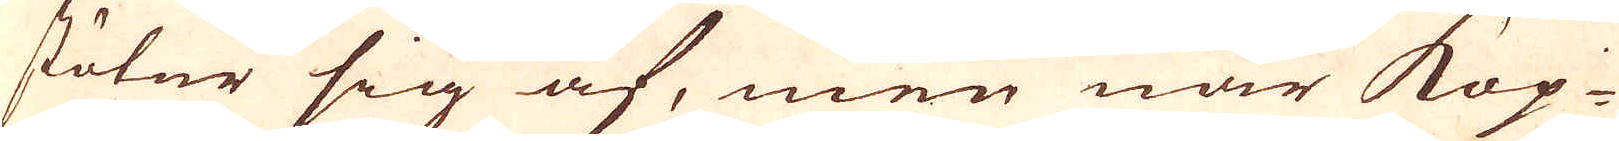stöter sig af, men när Kop-
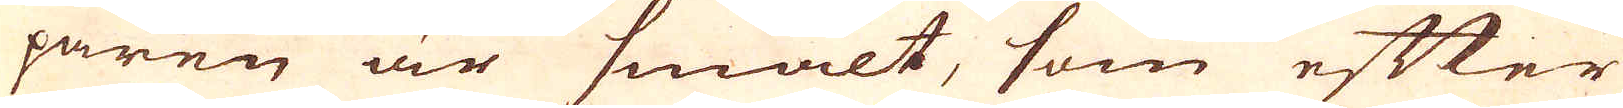paren är smält, som efter
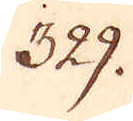329.
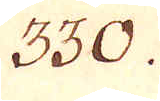330.
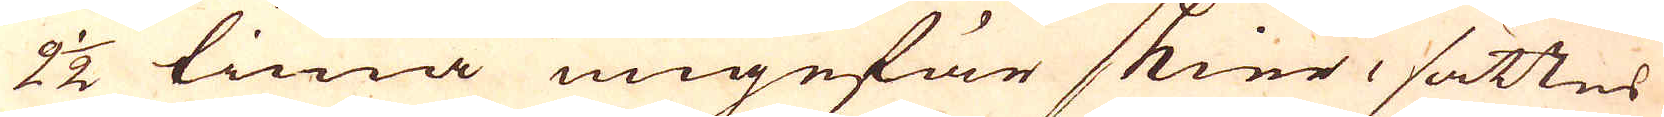2 1/2 tima ungefär skier, sättes
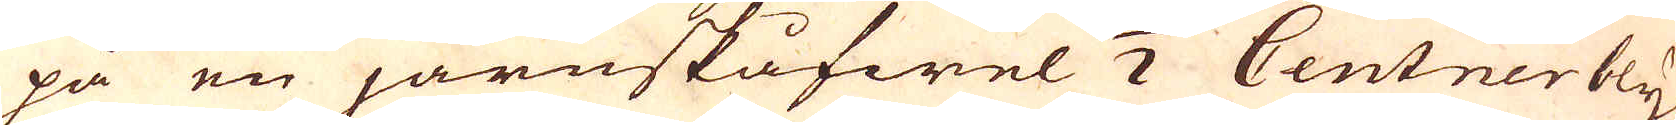på en järnskåfwel 1/2 Centner bly
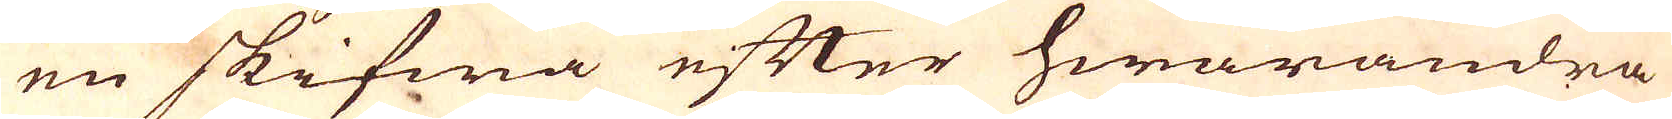en skifwa efter hwarandra
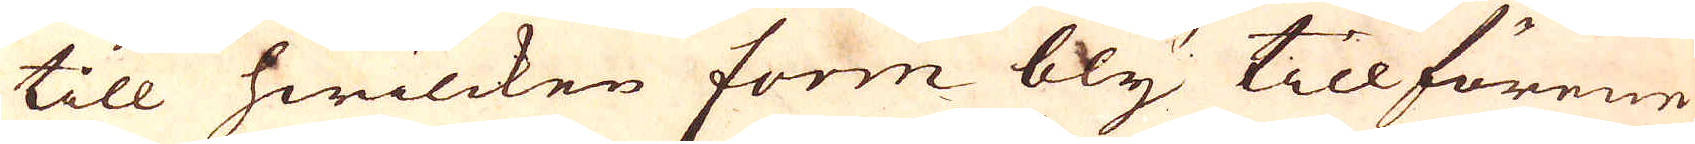till hwilcken form bly tillförene
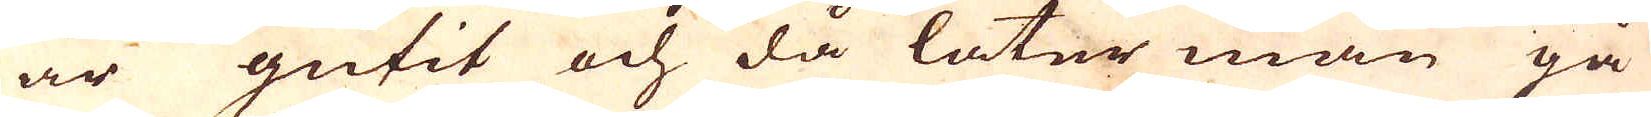är gutit och då låter man gå
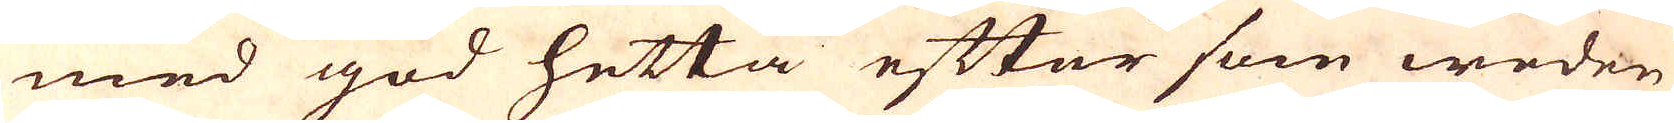med god hetta efter som weden
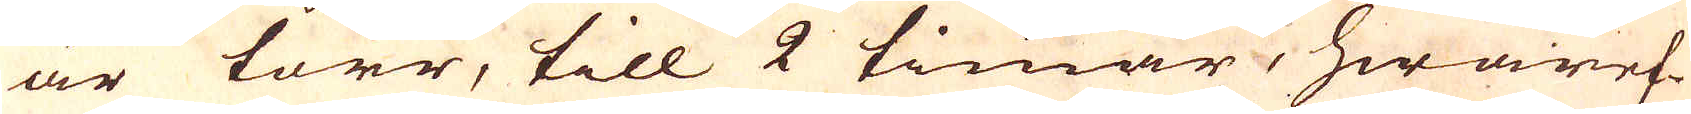är torr, till 2 timar, hwaref-
